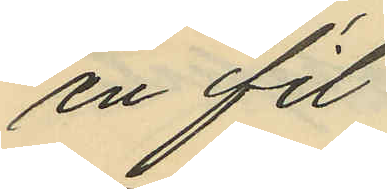en fil
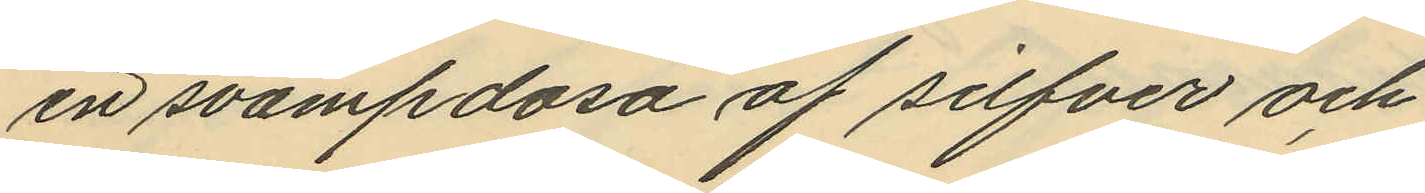en svampdosa af silfver och
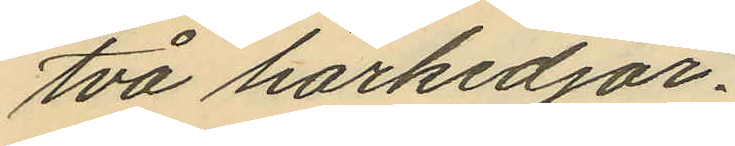två hårkedjor.
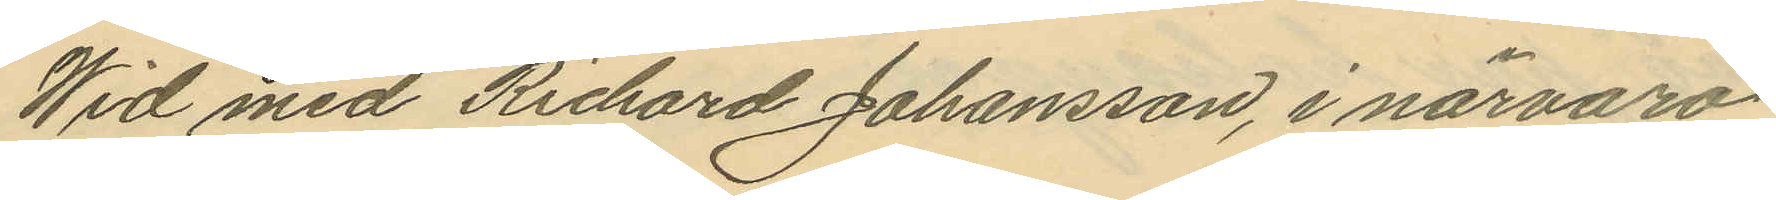Wid med Richard Johansson, i närvaro
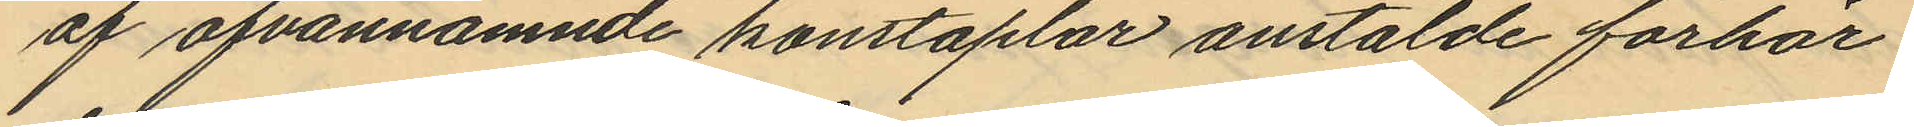af ofvannämnde konstaplar anstälde förhör
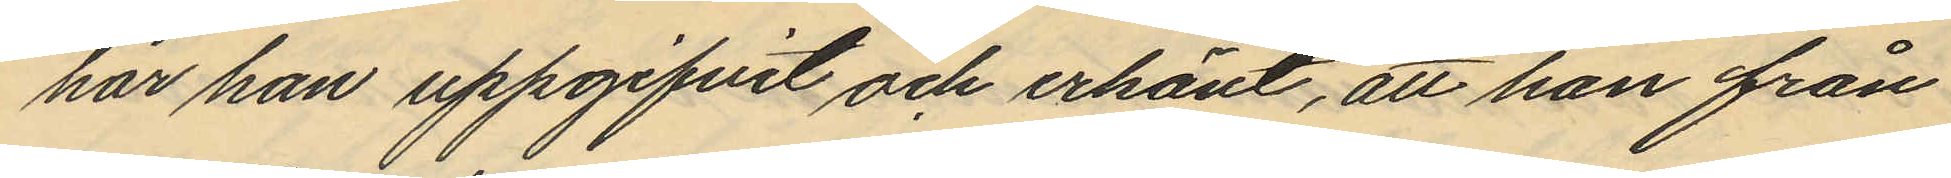har han uppgifvit och erkänt, att han från
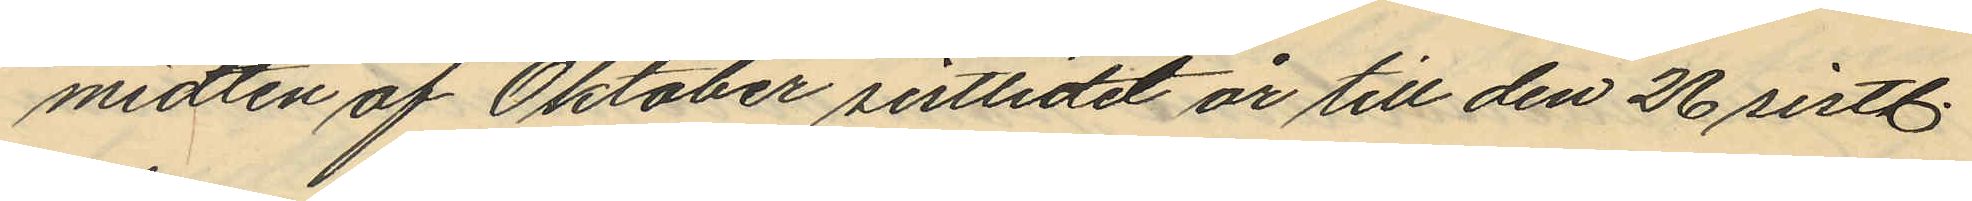midten af Oktober sistlidet år till den 26 sistl.
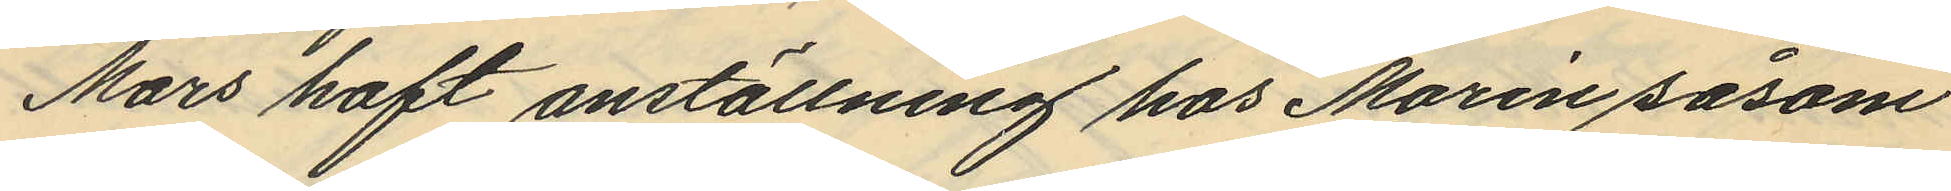Mars haft anställning hos Morin såsom
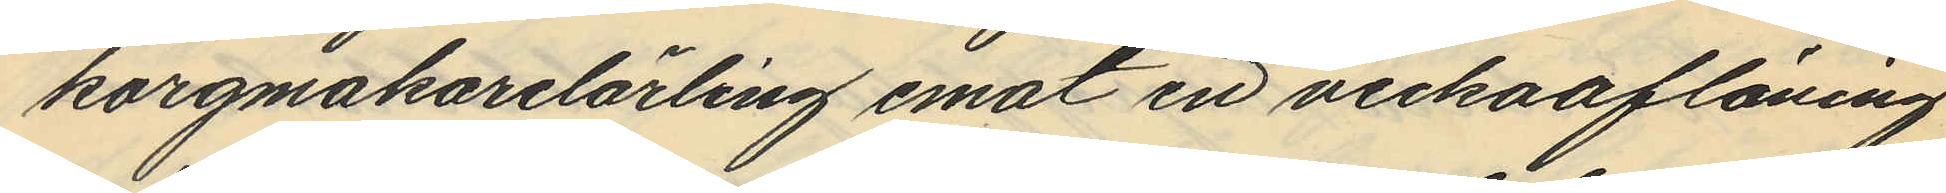korgmakarelärling emot en veckoaflöning
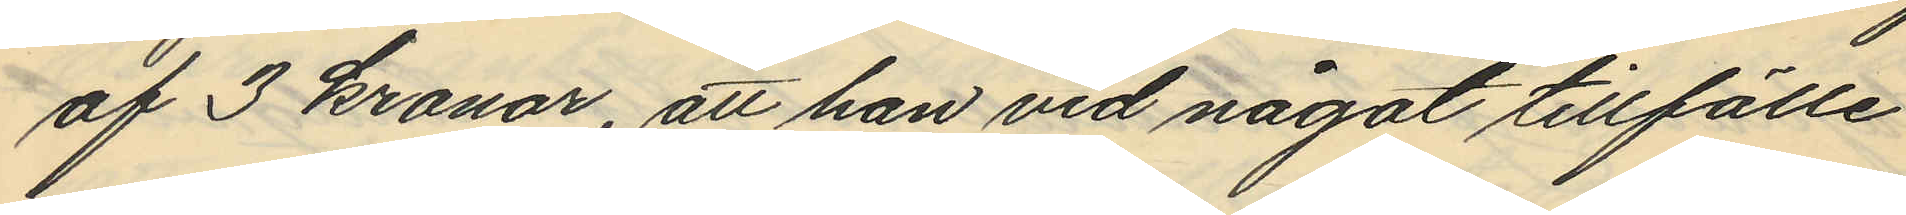af 3 kronor, att han vid något tillfälle
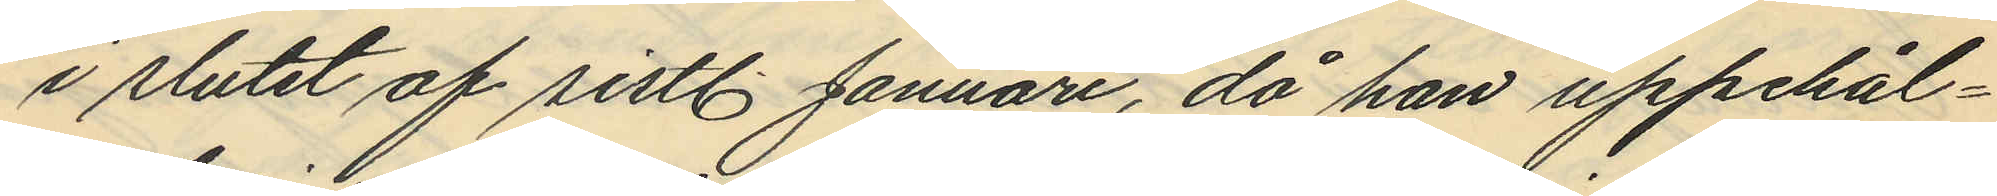i slutet af sistl. Januari, då han uppehål¬
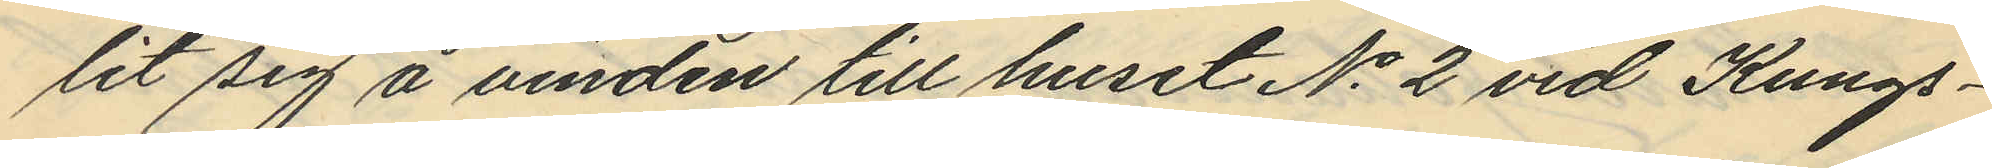lit sig å vinden till huset No 2 vid Kungs¬
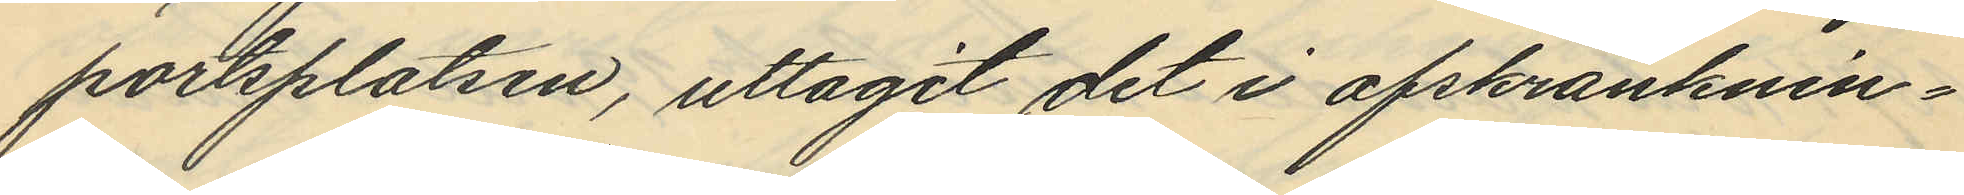portsplatsen, uttagit det i afskranknin¬
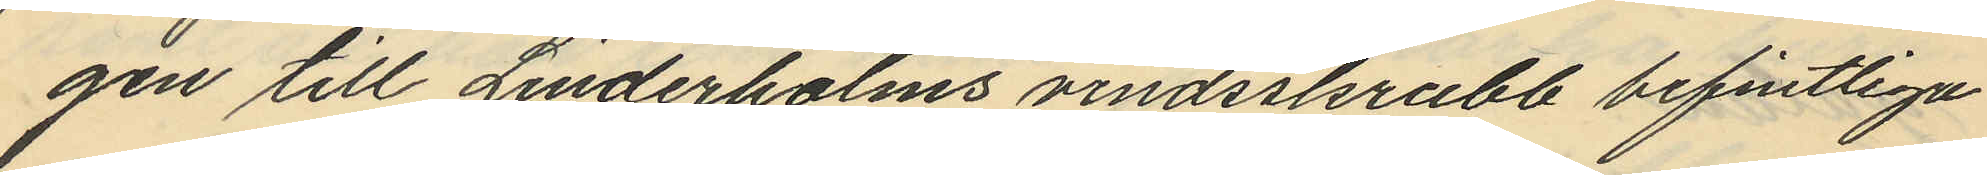gen till Linderholms vindsskrubb befintliga
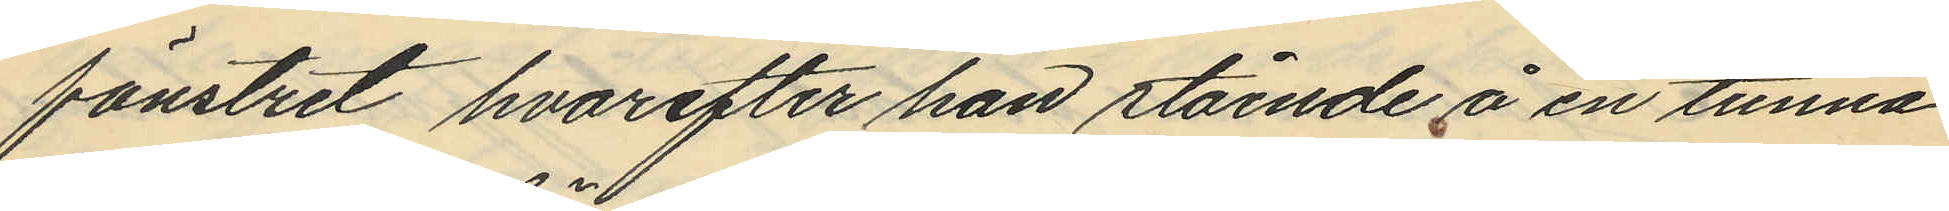fönstret hvarefter han stående å en tunna
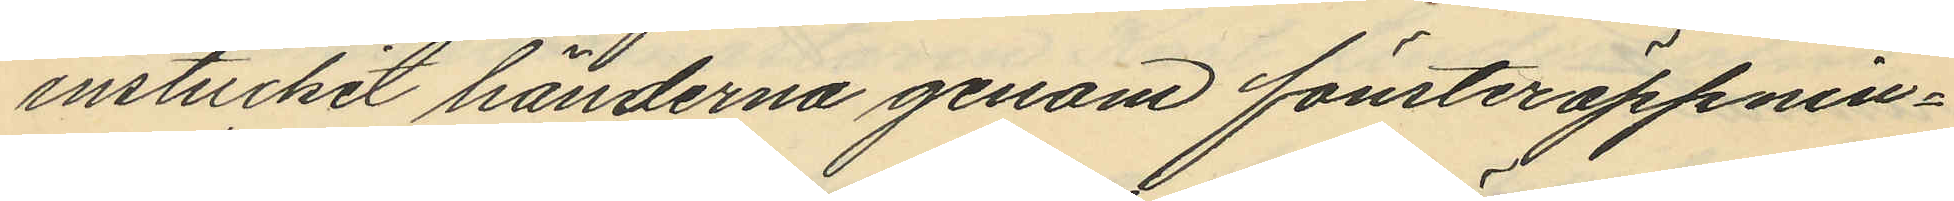instuckit händerna genom fönsteröppnin¬
